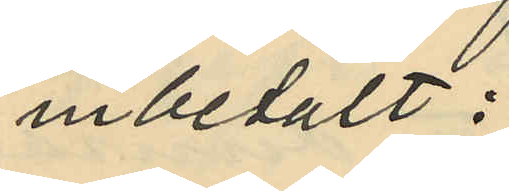inbetalt:
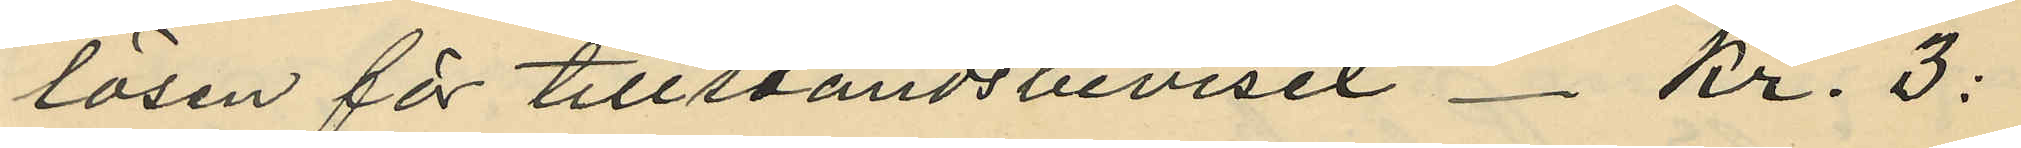lösen för tillståndsbeviset - Kr. 3:
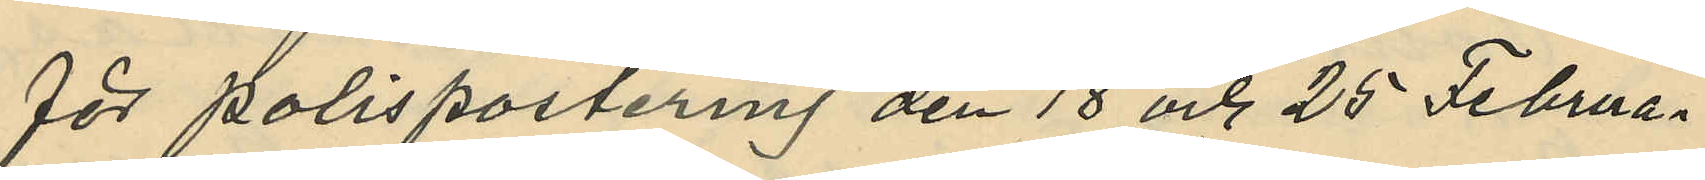för polispostering den 18 och 25 Februa¬
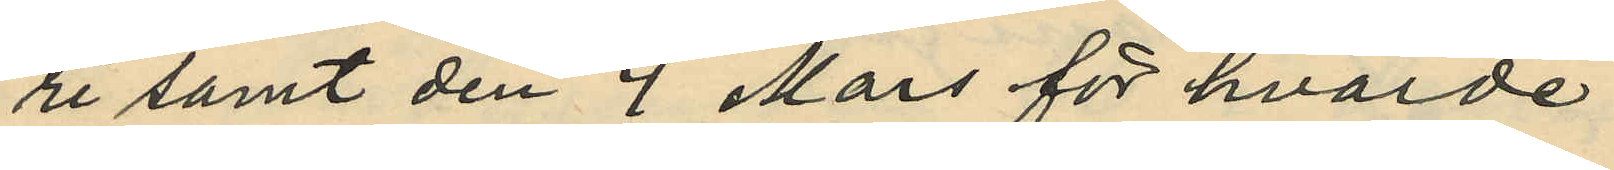ri samt den 4 Mars för hvarder
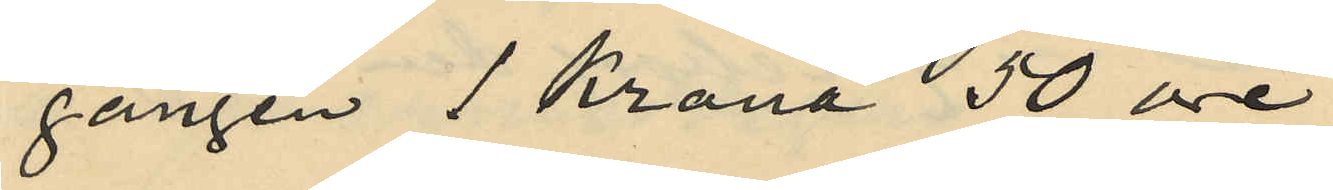gången 1 krona 50 öre.
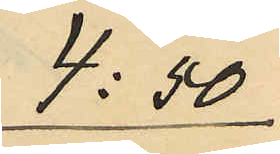 4:50
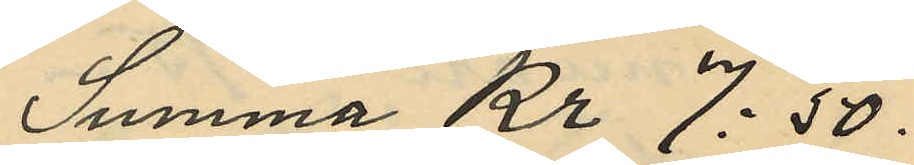Summa Kr 7:50.
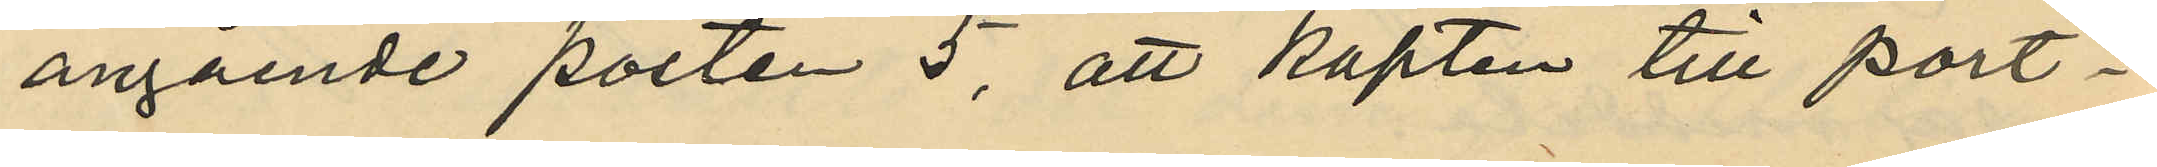angående posten 5, att kapten till port¬
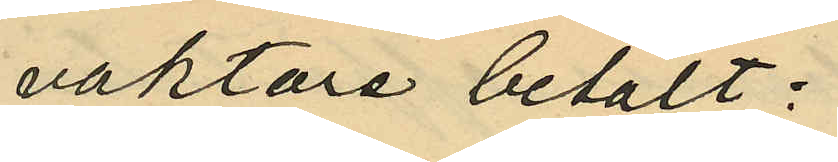vaktare betalt:
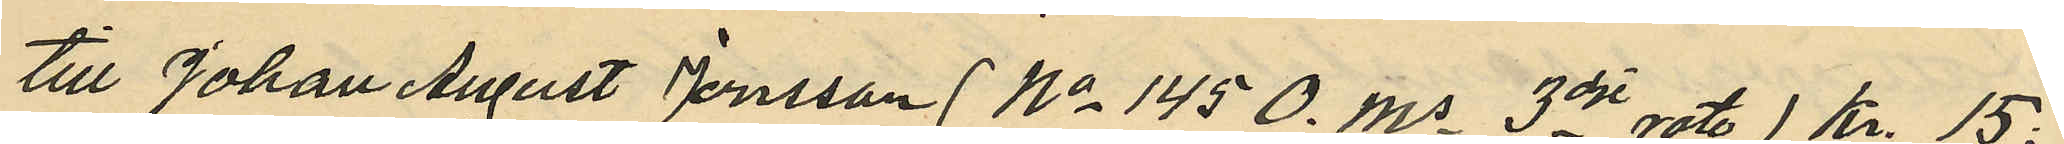till Johan August Jönsson (No 145 O. Ms 3dje rote) kr. 15:
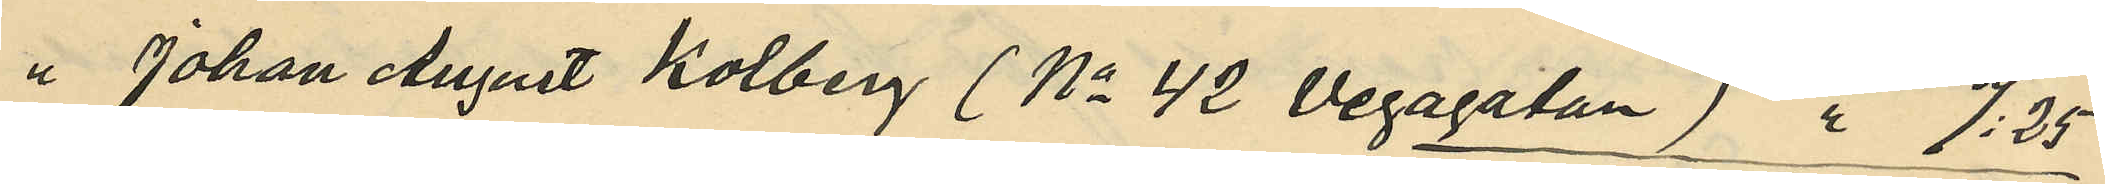" Johan August Kolberg (No 42 Vegagatan) " 7:25
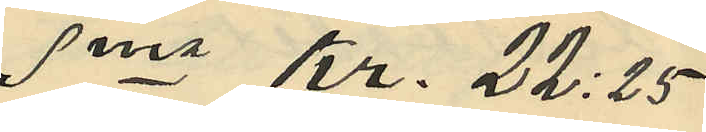Sma Kr. 22:25
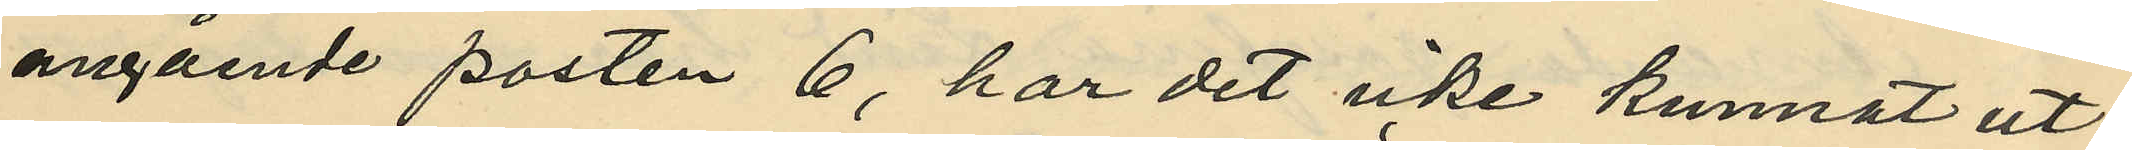angående posten 6, har det icke kunnat ut¬
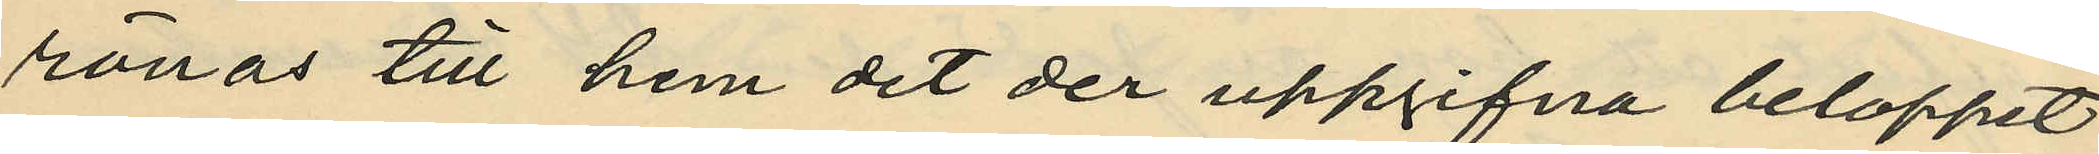rönas till hvem det der uppgifna beloppet
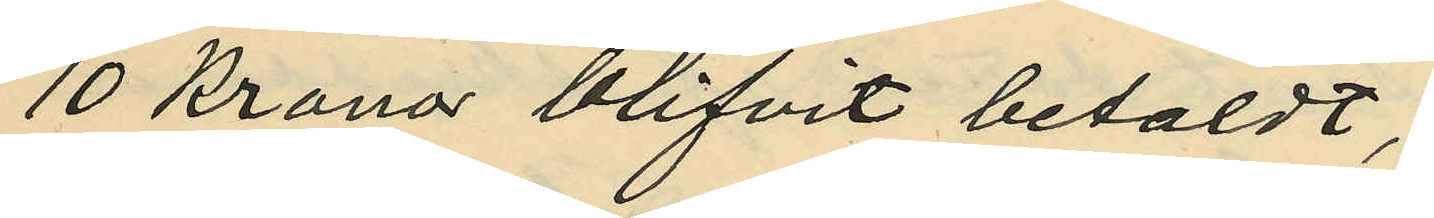10 Kronor blifvit betaldt;
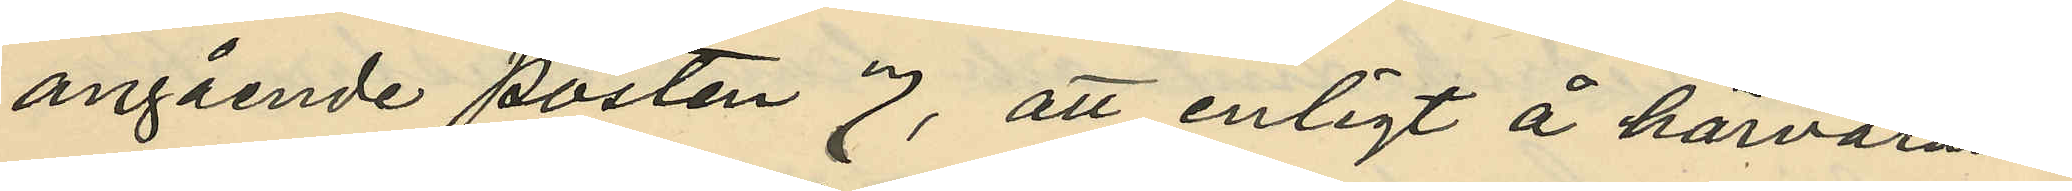angående posten 7, att enligt å härvaran¬
